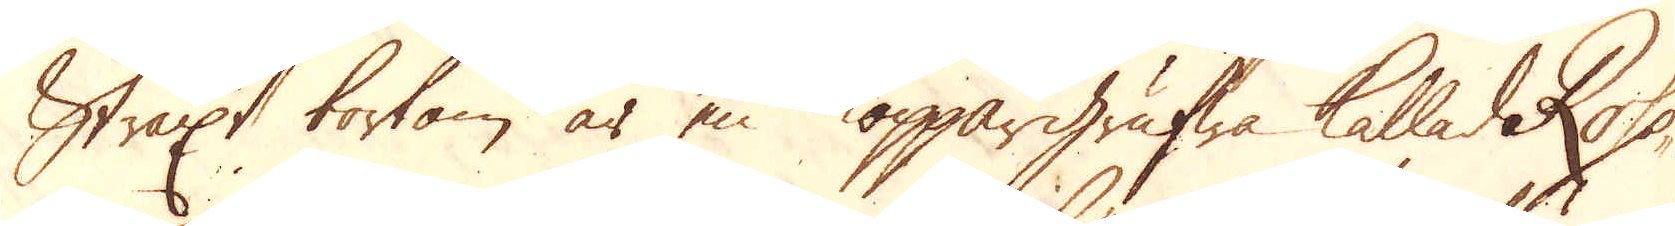Straxt bortom är en Koppargrufwa kallad Rose-
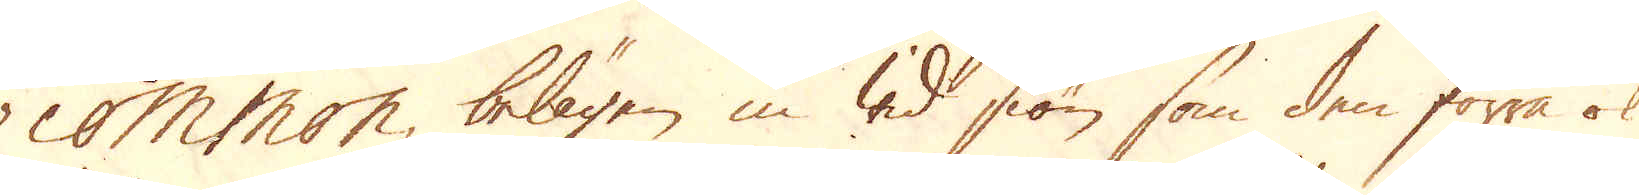common, belägen in wid siön som den förra ok
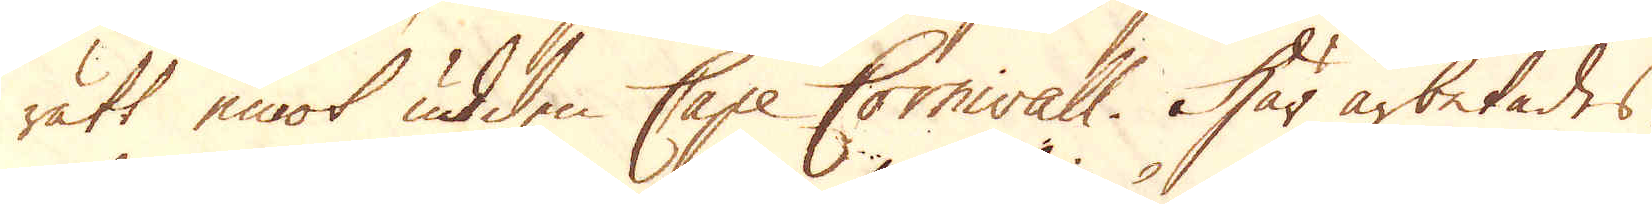rätt emot udden Cape Cornwall. Här arbetades
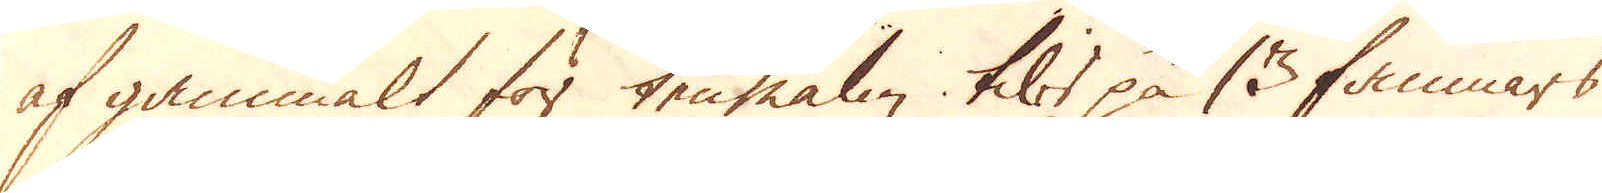af gammalt för tenmalm tils på 13 famnars
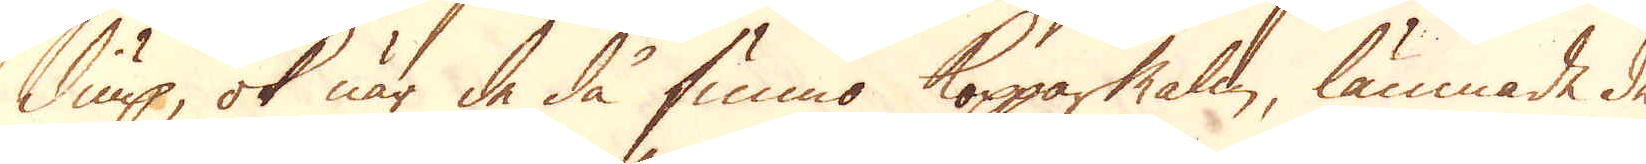diup, ok när de då funno Kopparmalm, lämnade de
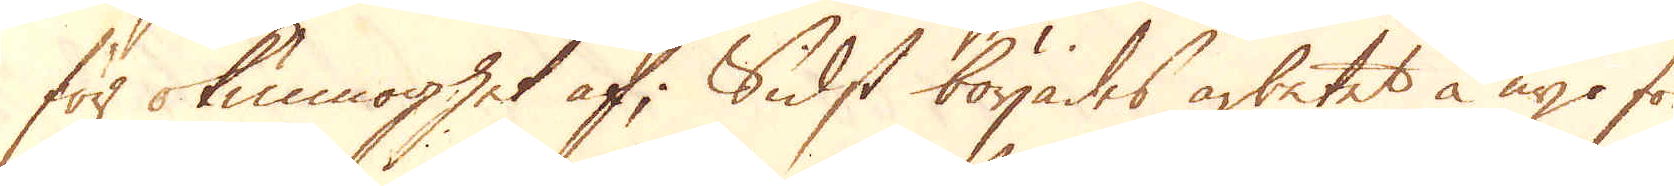förr okunnoghet af; Sidst börjades arbetet å nyo för
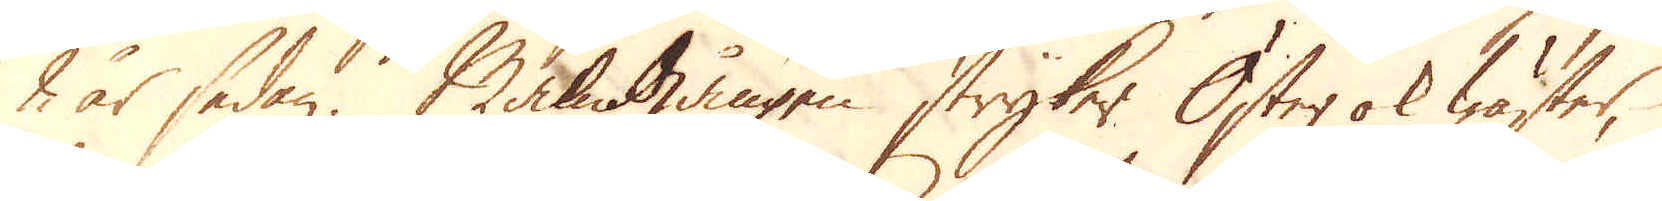2 år sedan. Malmgången stryker Öster ok Wäster,
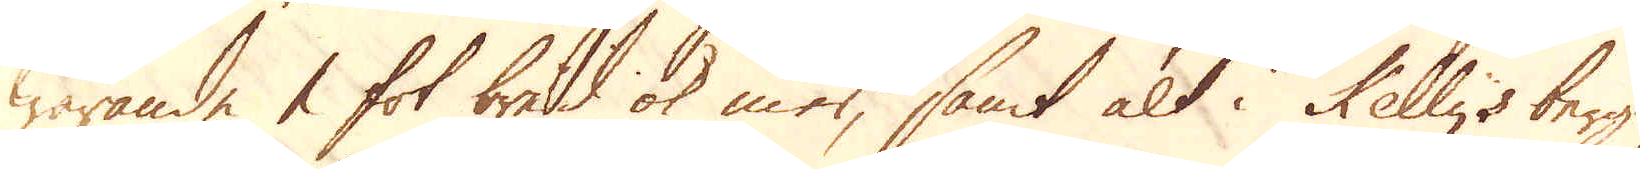warande 1 fot bred ok mer, samt alt i Kelly's berg-
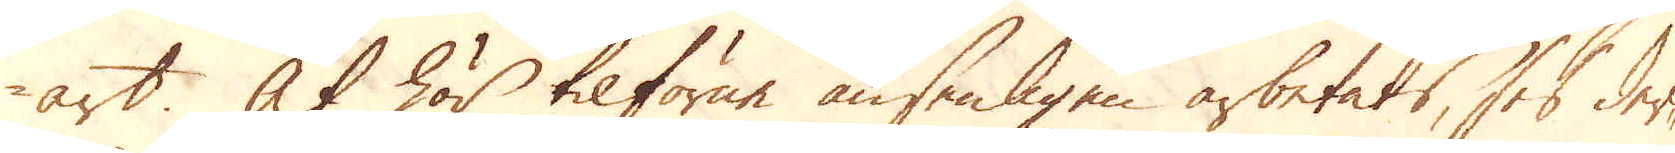art. At här tilförne ansenligen arbetats, ses der-
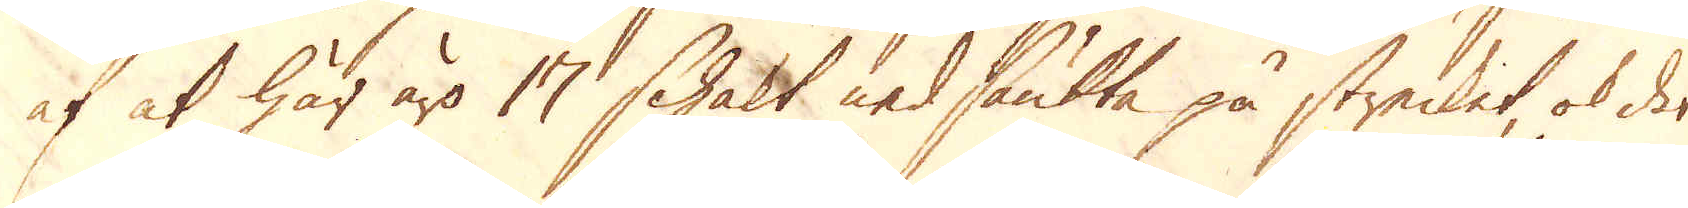af at här äro 17 Schakt nedsänkta på strecket, ok det
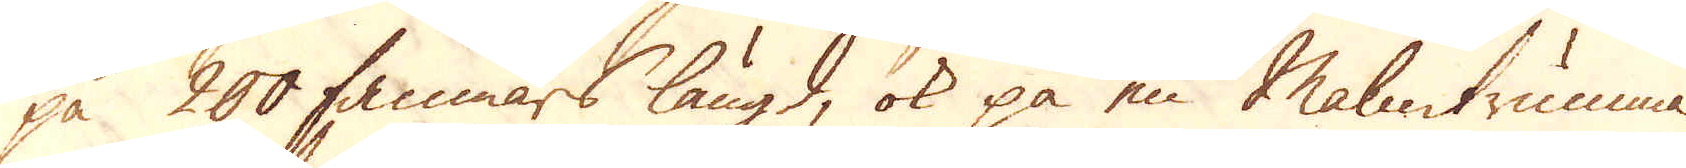på 200 famnars längd, ok på en Malmtrumma
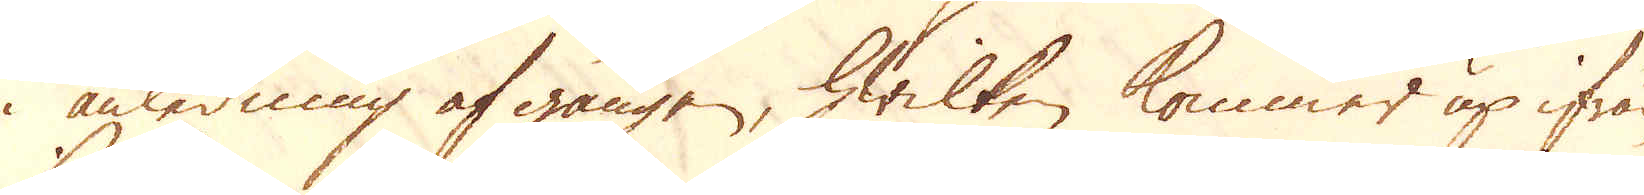i anledning af gången, hwilken kommer up ifrån
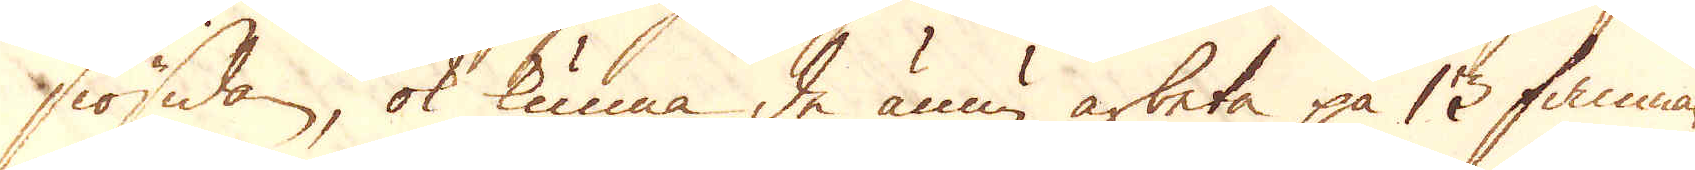siösidan, ok kunna de ännu arbeta på 13 famnars
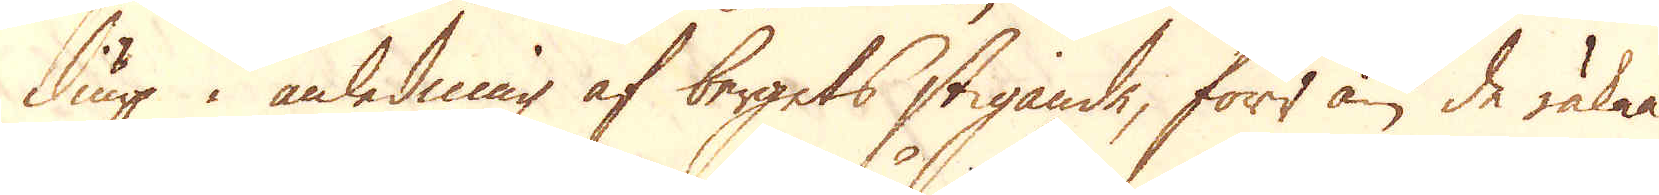diup i anledning af bergets stigande, förr än de räkna
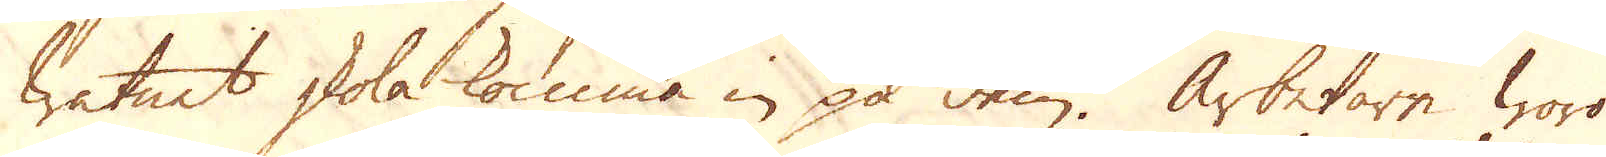watnet skola komma in på dem. Arbetare woro
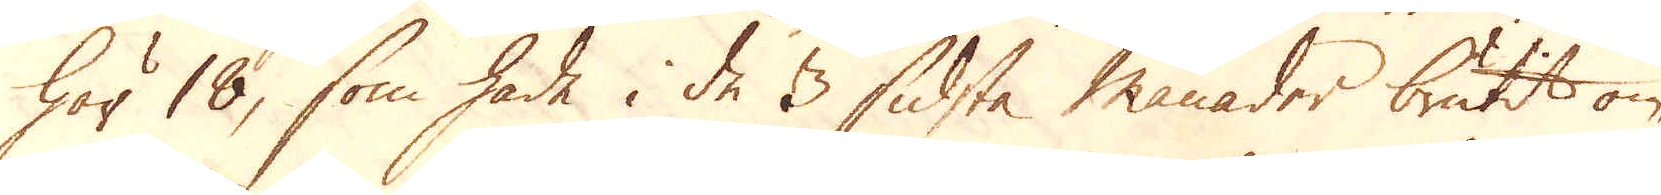här 18, som hade i de 3 sidsta månader brutit om-
